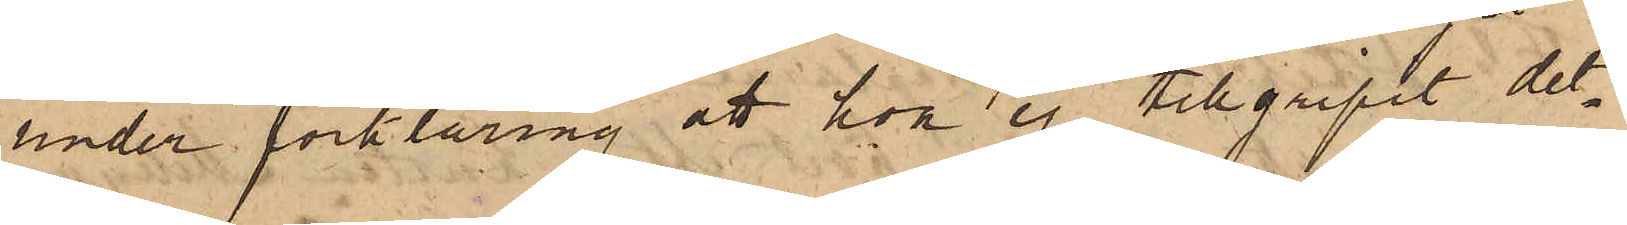under förklaring att hon ej tillgripit det¬
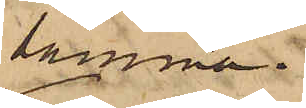samma.
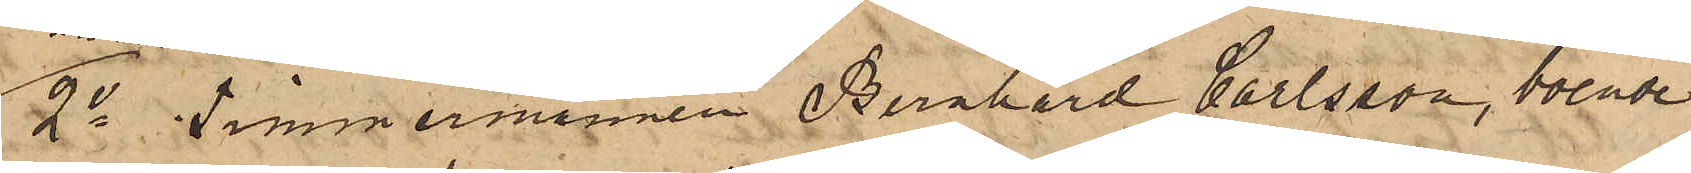2o Timmermannen Bernhard Carlsson, boende
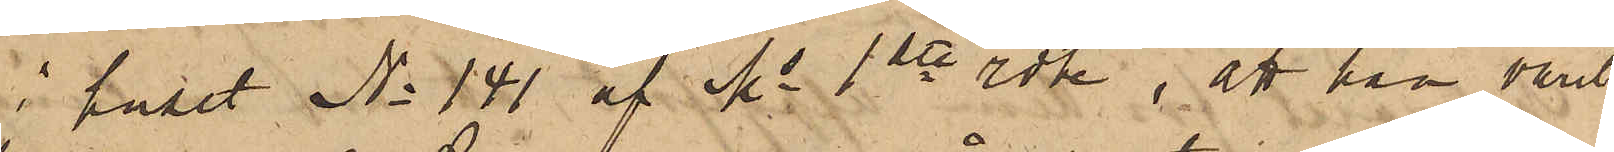i huset No 141 af Ms 1ste rote, att han varit
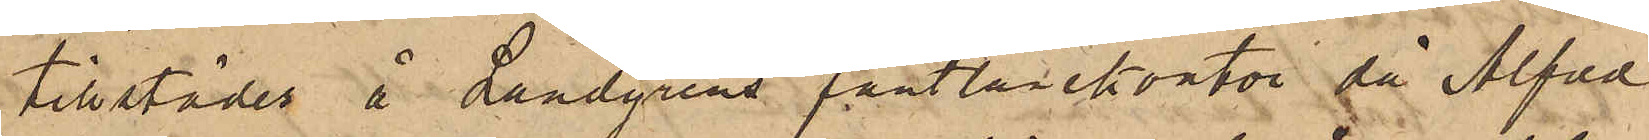tillstädes å Landgrens pantlånekontor, då Alfred
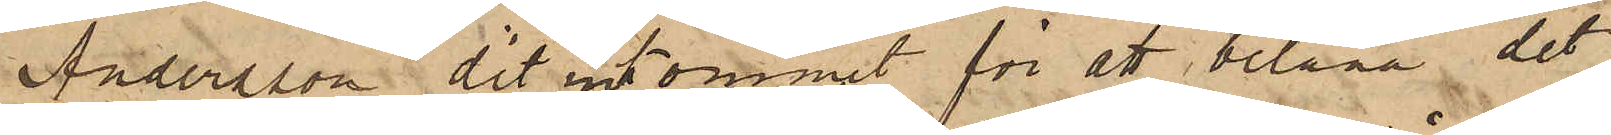Andersson dit inkommit för att belåna det
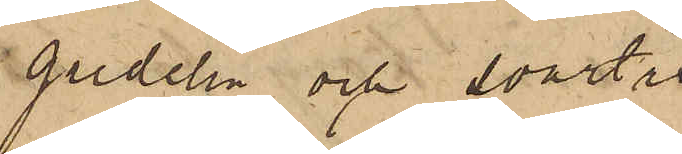gredelin och svart¬
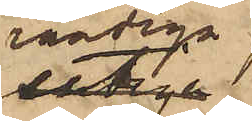randiga
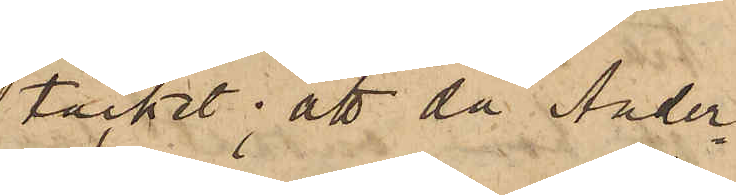täcket; att då Ander¬
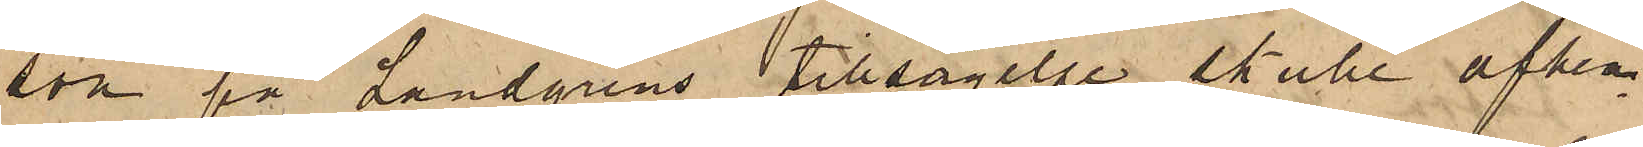son på Landgrens tillsägelse skulle afhem¬
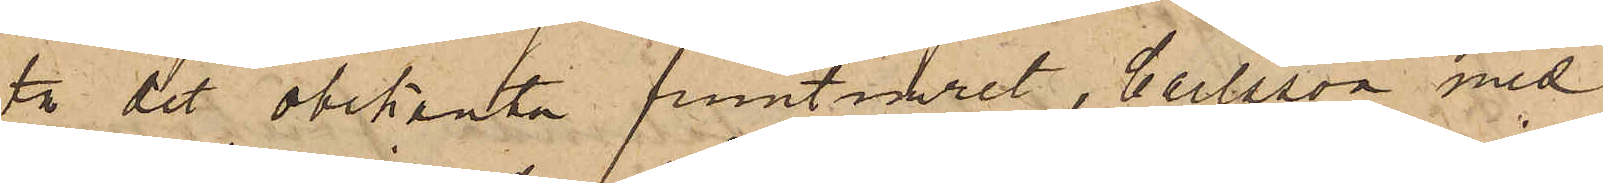ta det obekanta fruntimret, Carlsson med¬
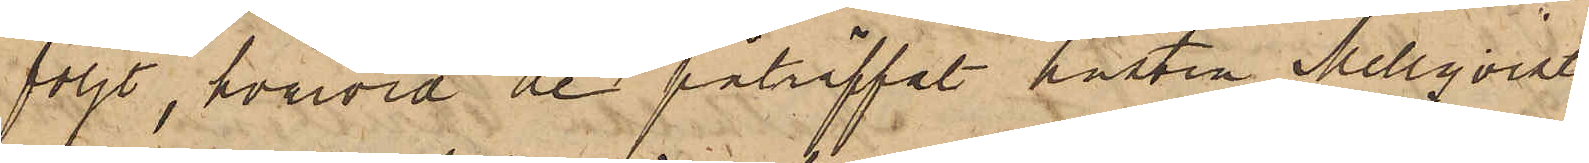följt, hvarvid de påträffat hustru Mellqvist
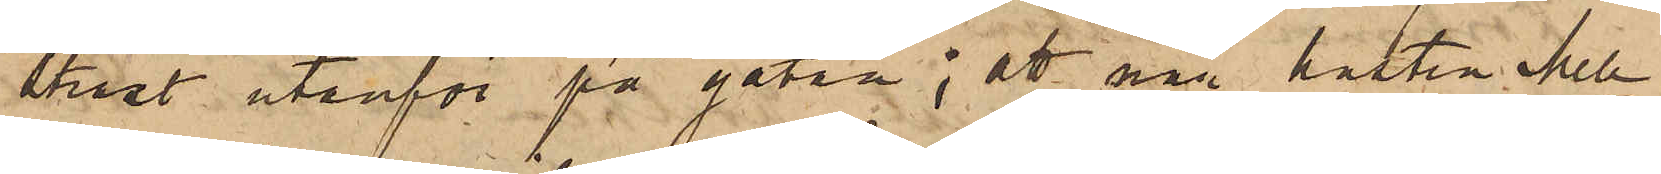straxt utanför på gatan; att när hustru Mell¬
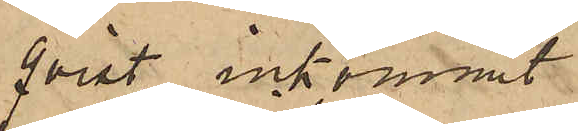qvist inkommit
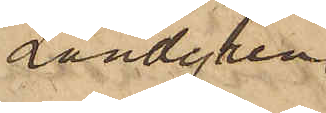Landgren
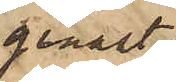genast
